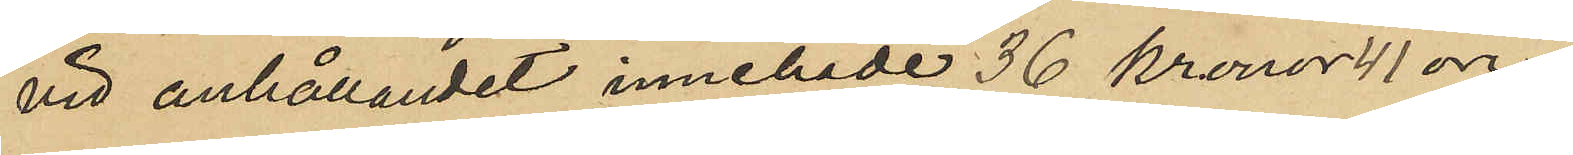vid anhållandet innehade 36 kronor 11 öre.
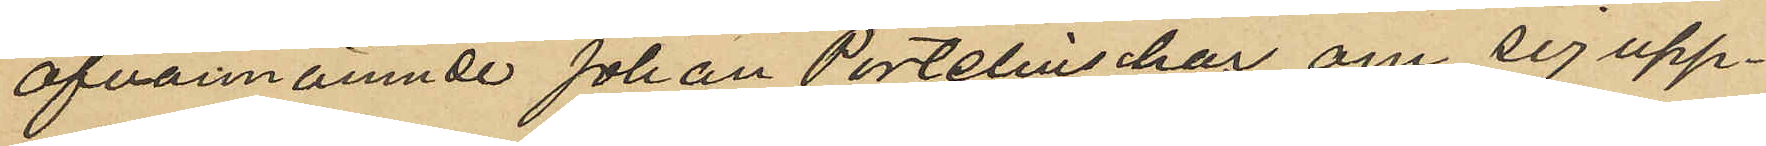Ofvannämnde Johan Portelius har om sig upp¬
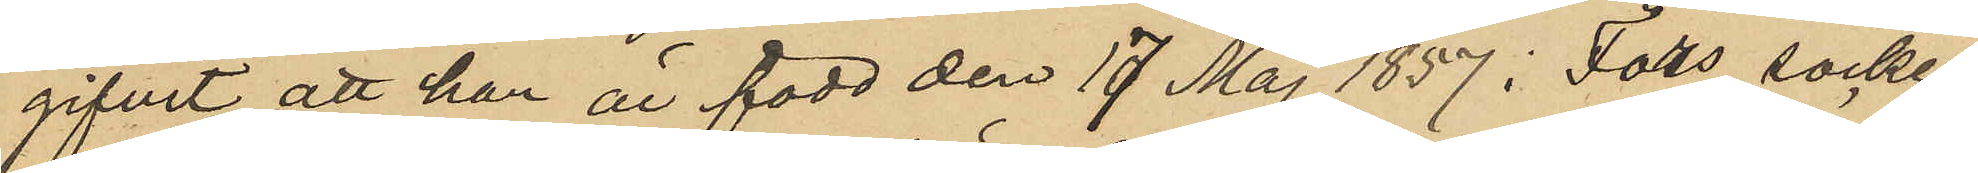gifvit att han är född den 17 Maj 1857 i Fors socken,
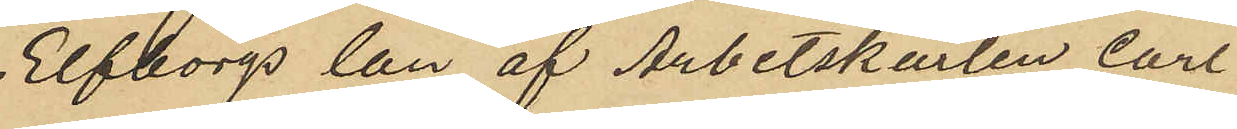Elfborgs län af Arbetskarlen Carl
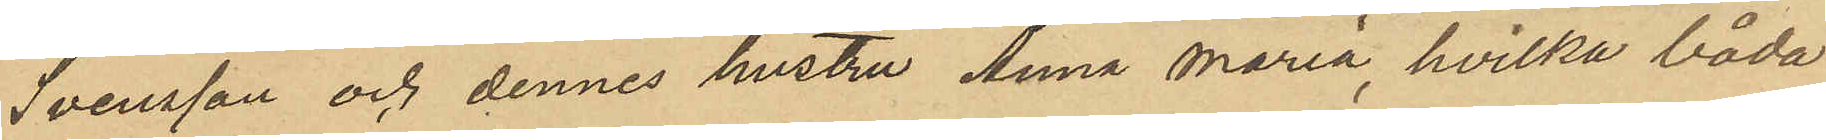Svensson och dennes hustru Anna Maria, hvilka båda
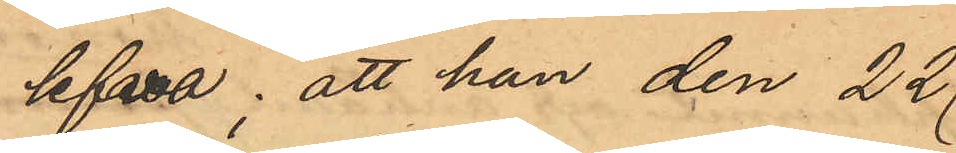lefva; att han den 22
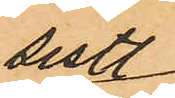sistl
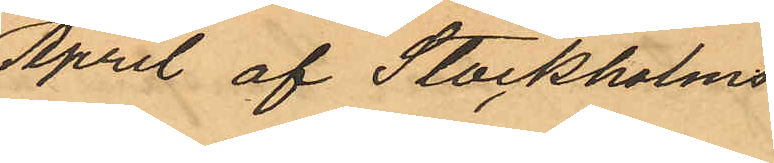April af Stockholms
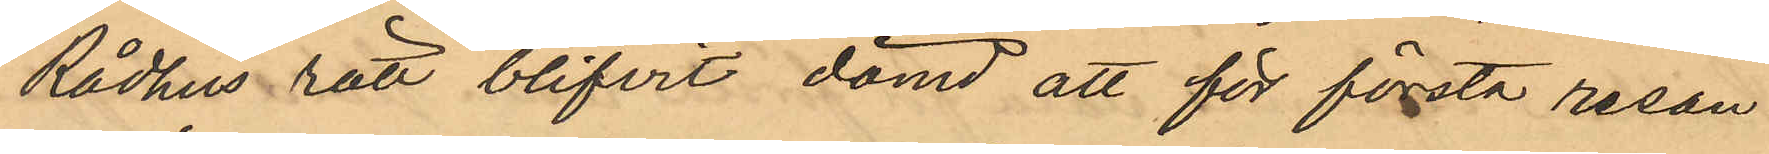Rådhus rätt blifvit dömd att för första resan
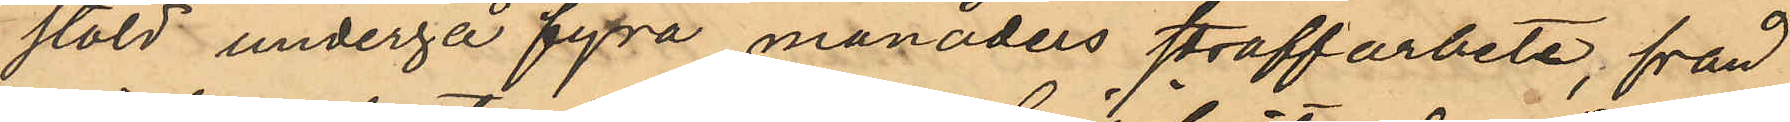stöld undergå fyra månaders straffarbete, från
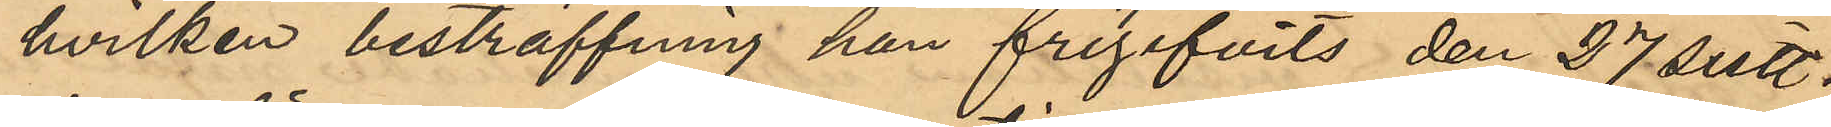hvilken bestraffning han frigifvits den 27 sistl.
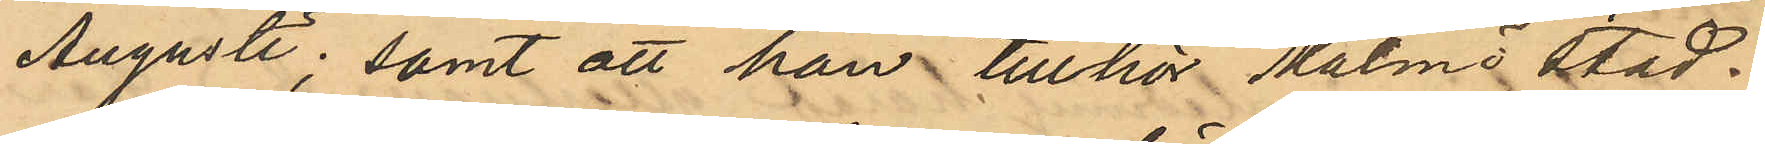Augusti; samt att han tillhör Malmö stad.
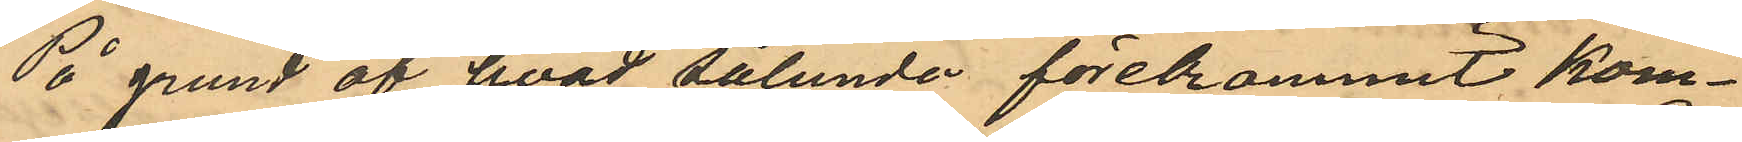På grund af hvad sålunda förekommit kom¬
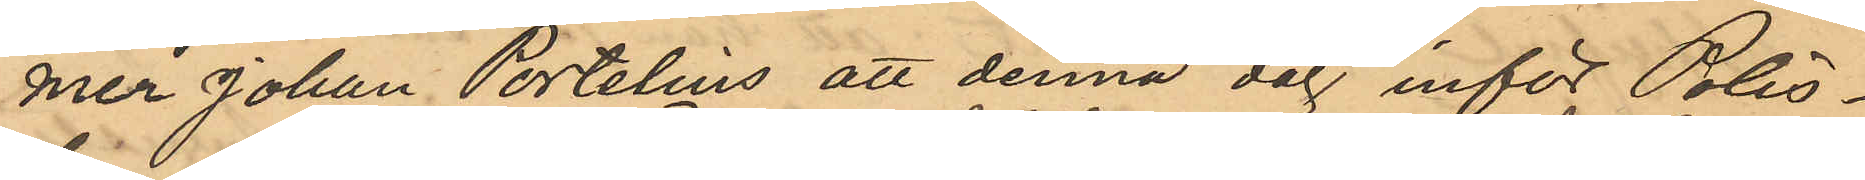mer Johan Portelius att denna dag inför Polis¬
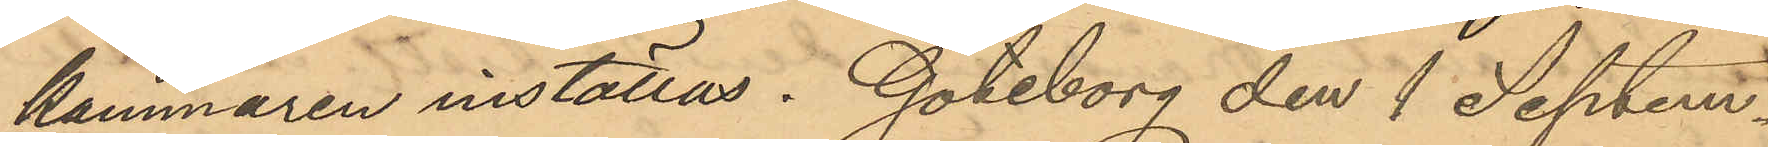kammaren inställas. Göteborg den 1 Septem¬
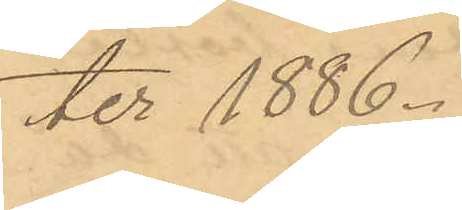ter 1886.
